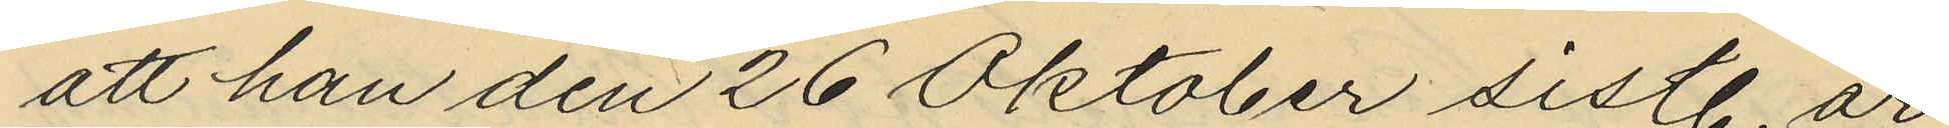att han den 26 Oktober sistl. år
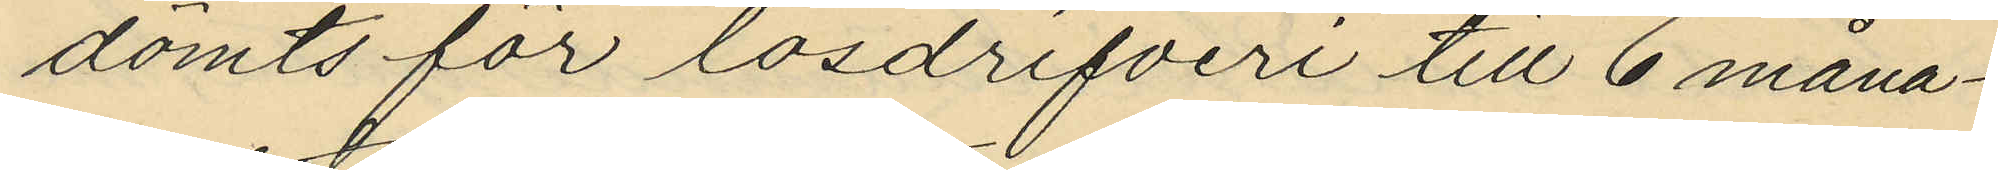dömts för lösdrifveri till 6 måna¬
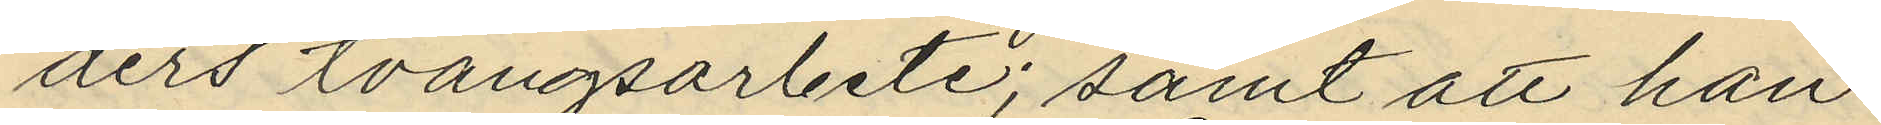ders tvångsarbete; samt att han
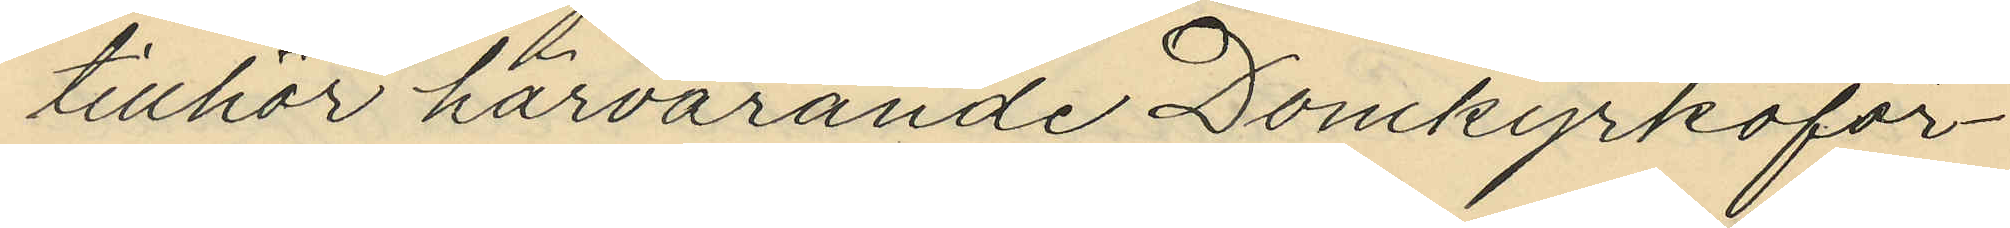tillhör härvarande Domkyrkoför¬
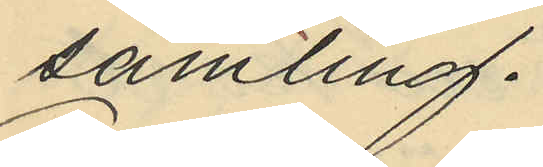samling.
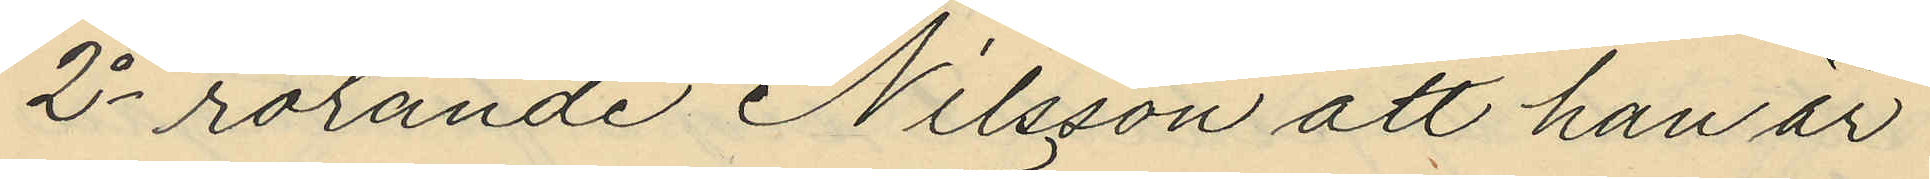2o rörande Nilsson att han är
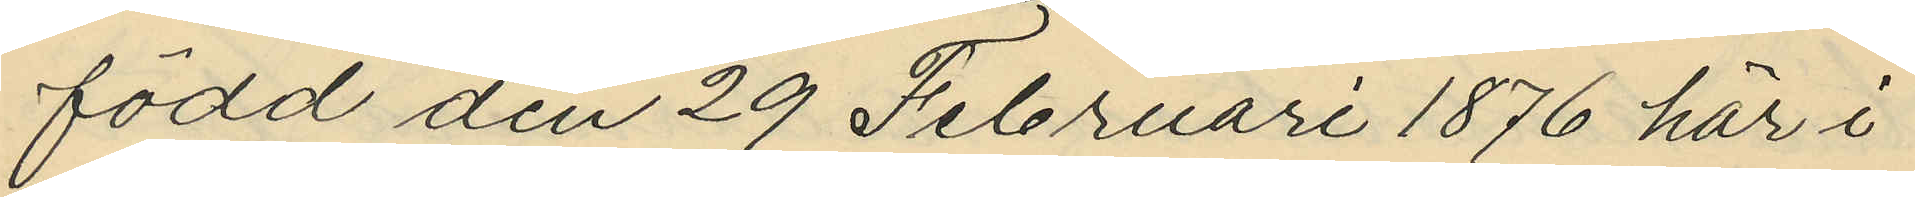född den 29 Februari 1876 här i
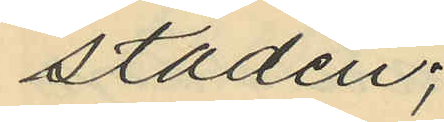staden;
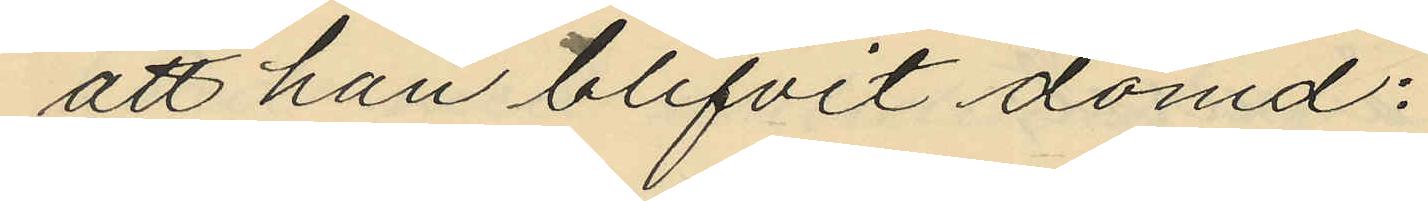att han blifvit dömd:
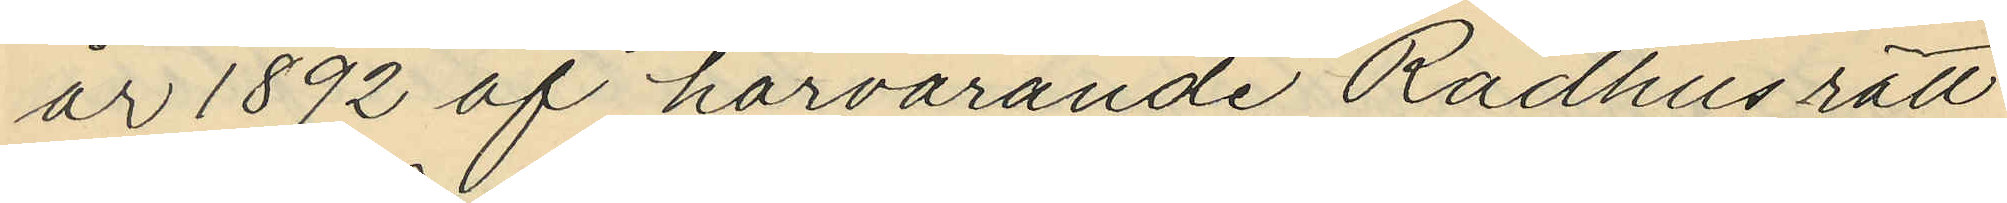år 1892 af härvarande Rådhusrätt
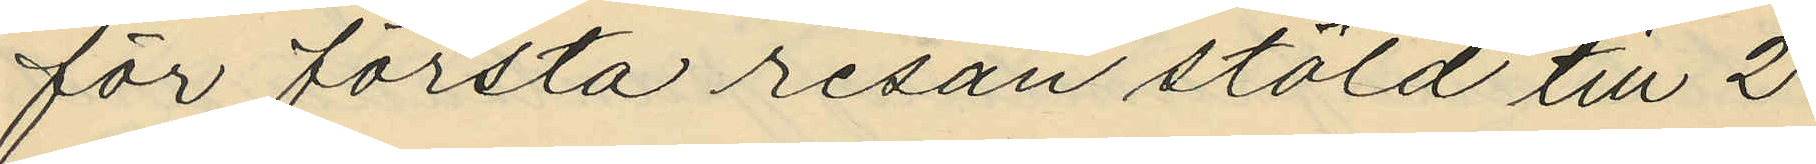för första resan stöld till 2
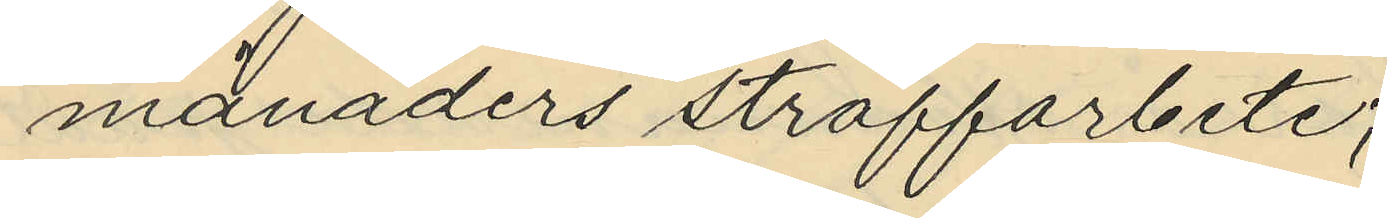månaders straffarbete;
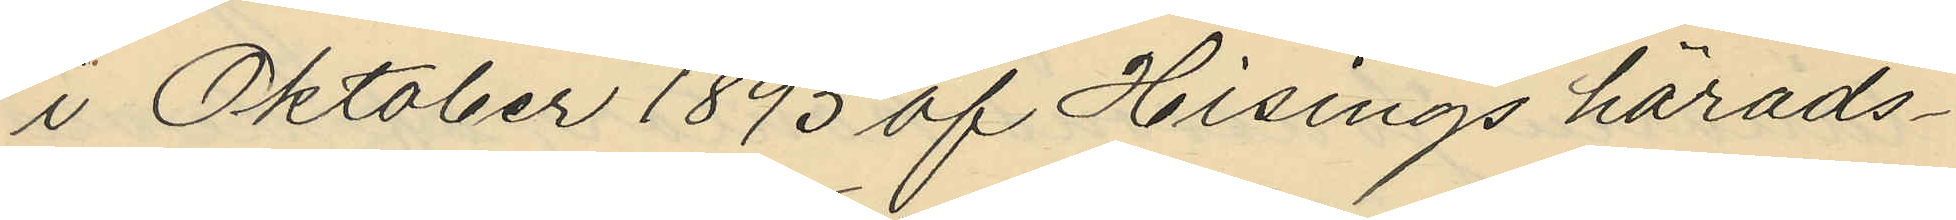i Oktober 1893 af Hisings härads¬
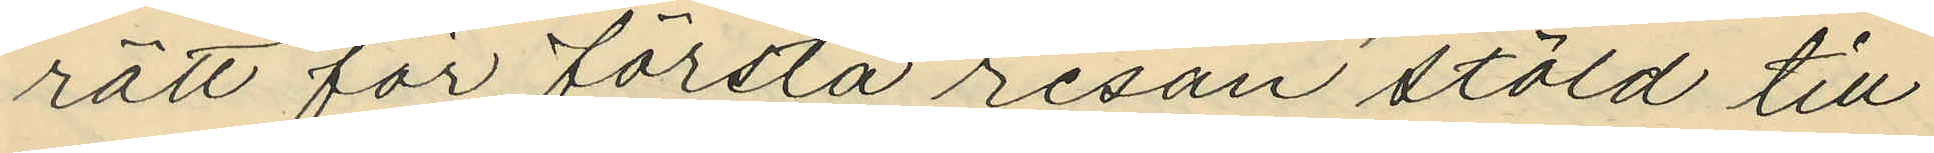rätt för första resan stöld till
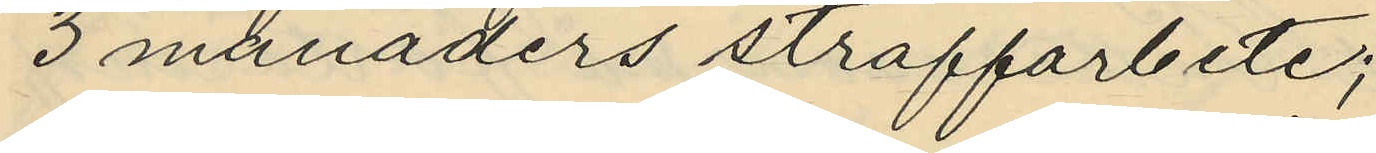3 månaders straffarbete;
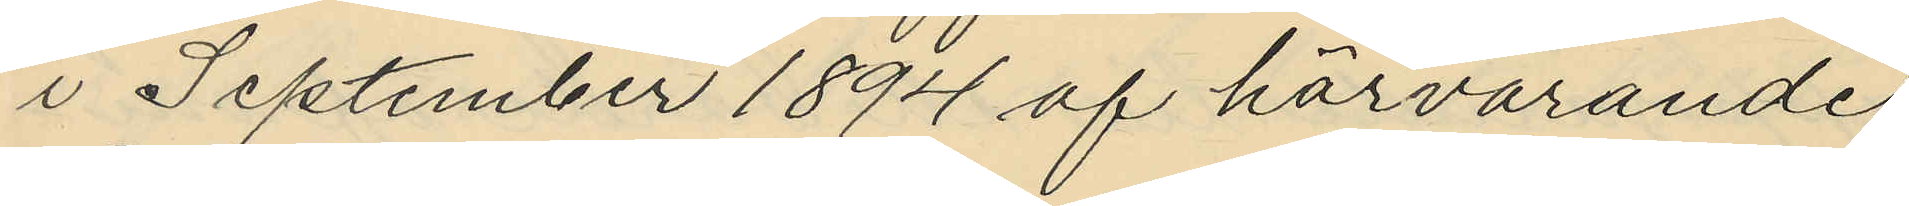i September 1894 af härvarande
